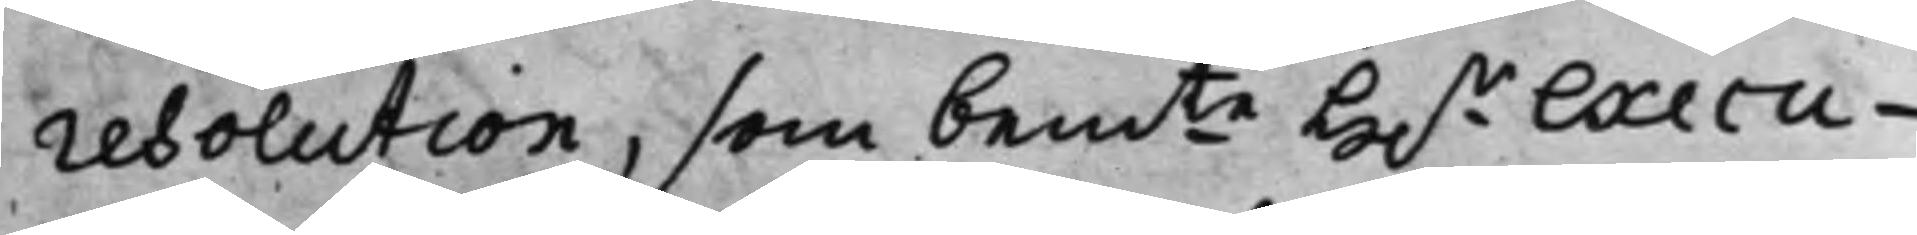resolution, som bemte H.r Execu¬
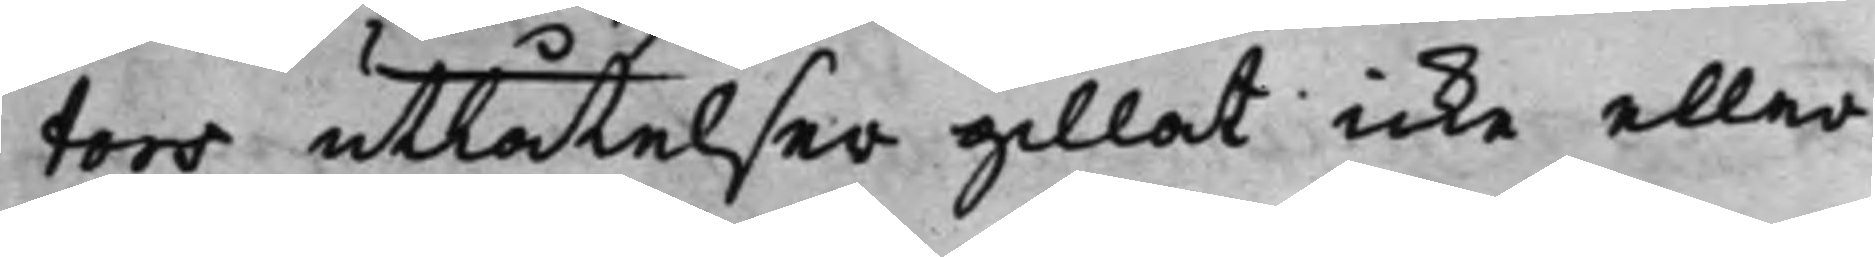tors utlåtelser gillat icke eller
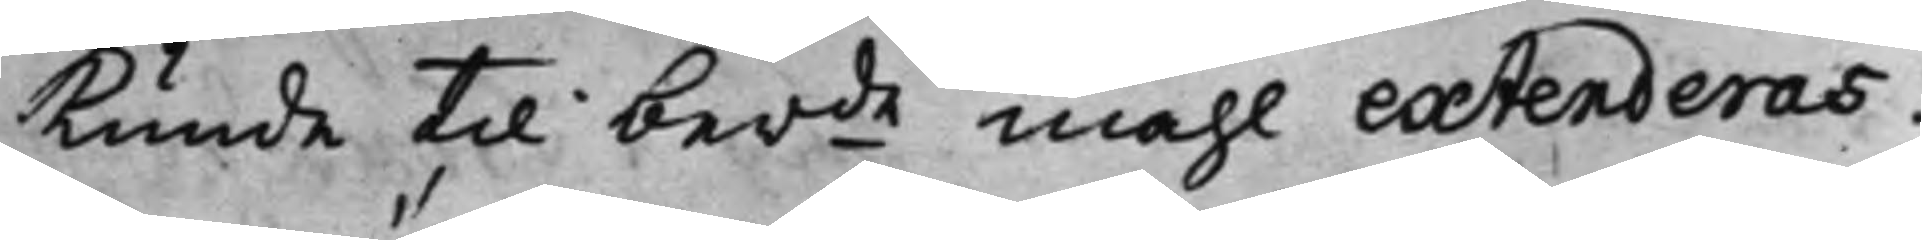kunde til berde måhl extenderas.
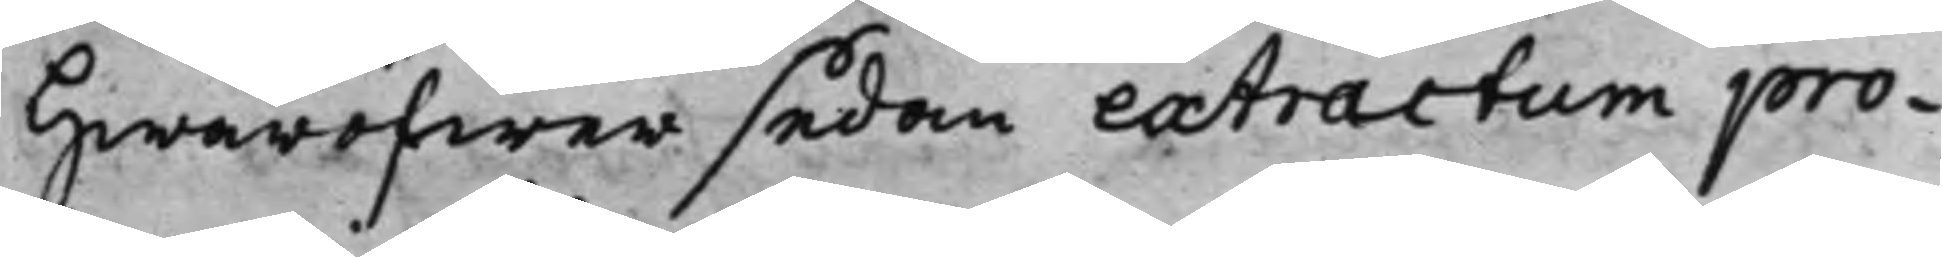Hwaröfwer sedan extractum pro¬
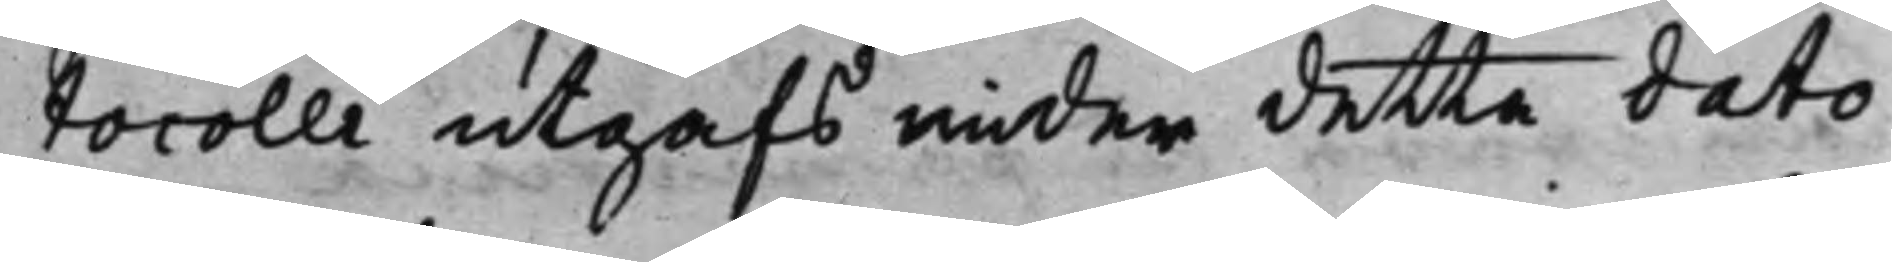tocolli utgafs under detta dato
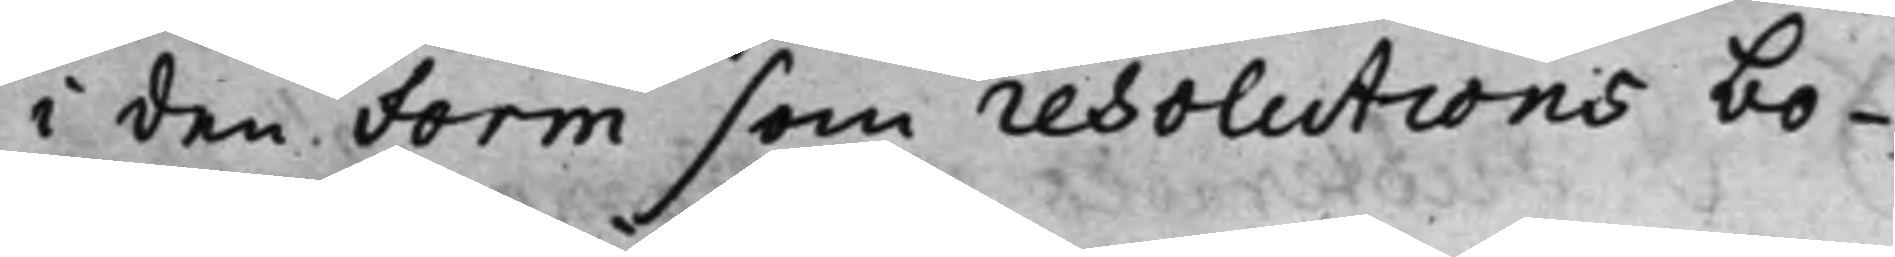i den Form som resolutions bo¬
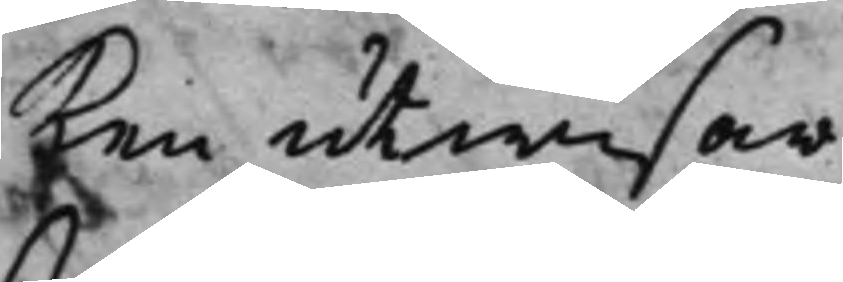ken utwisar.
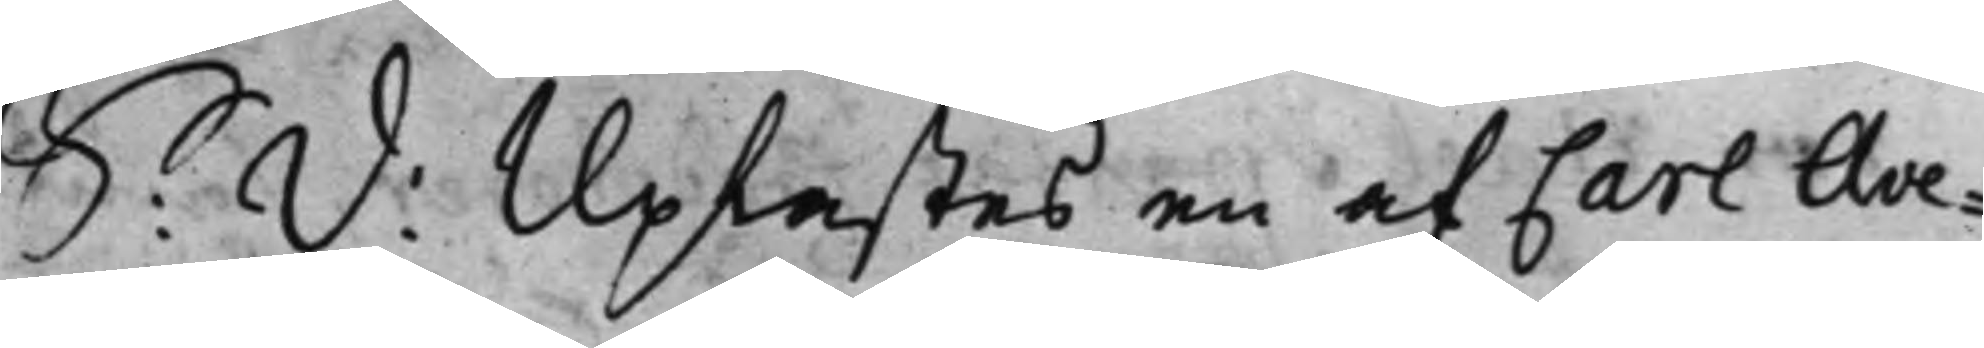S: D: Uplästes en af Carl Ave¬
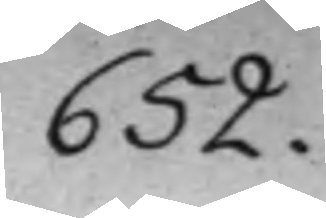652.
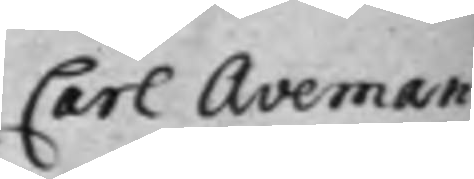Carl Aveman
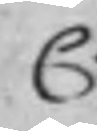C.
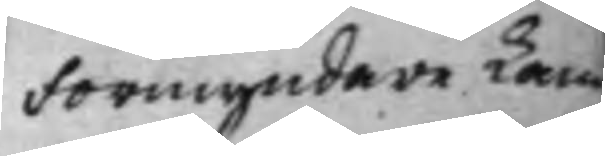Förmyndare Cam¬
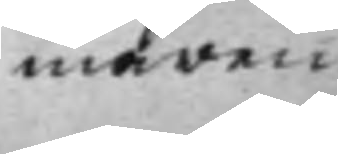maren
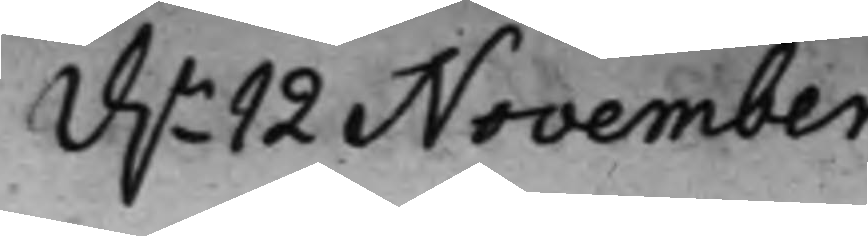d.n 12 November
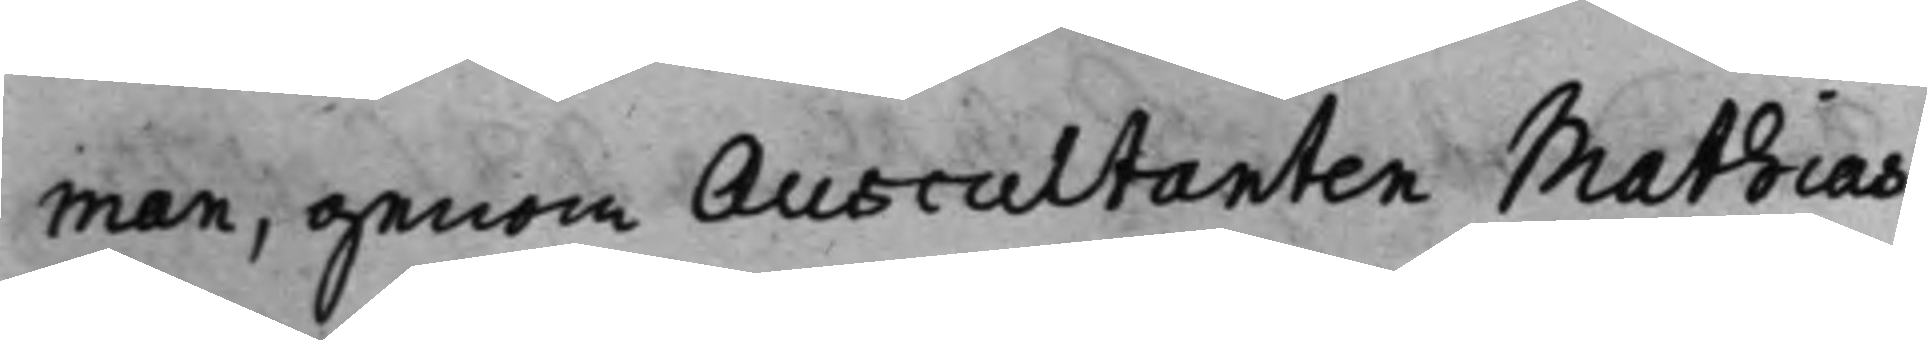man, genom Auscultanten Mathias
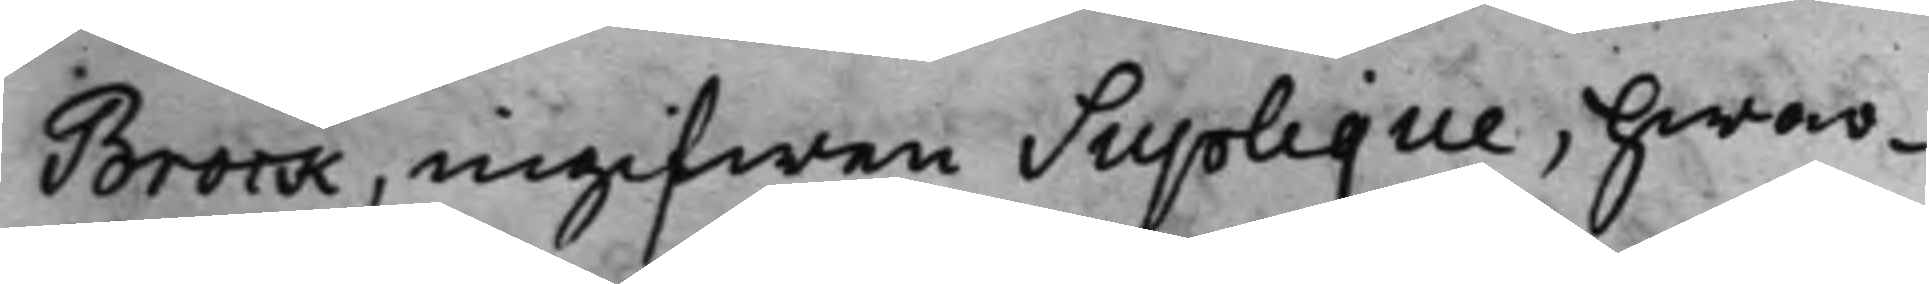Brock, ingifwen Suplique, hwar¬
